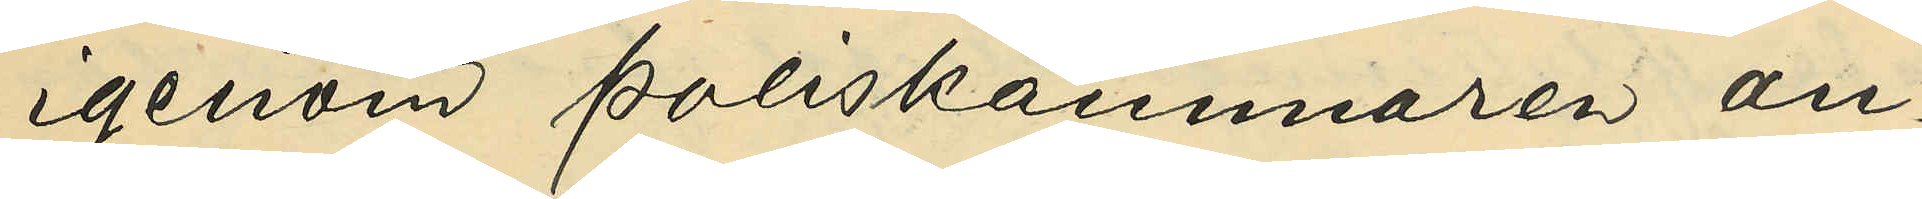igenom Poliskammaren an¬
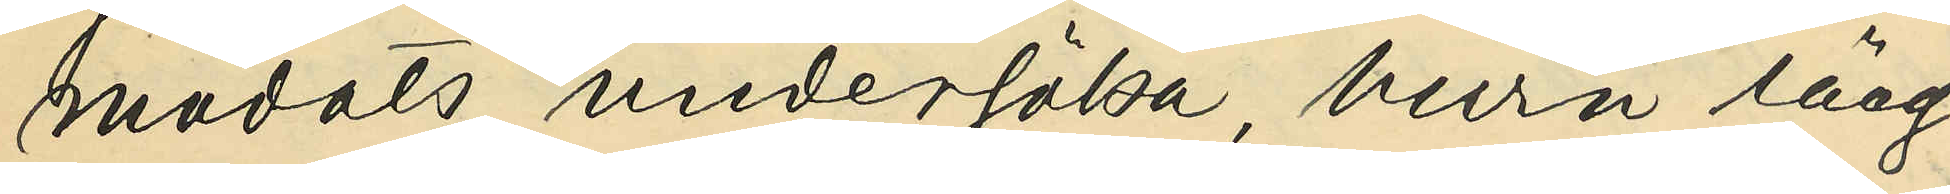modats undersöka, huru länge
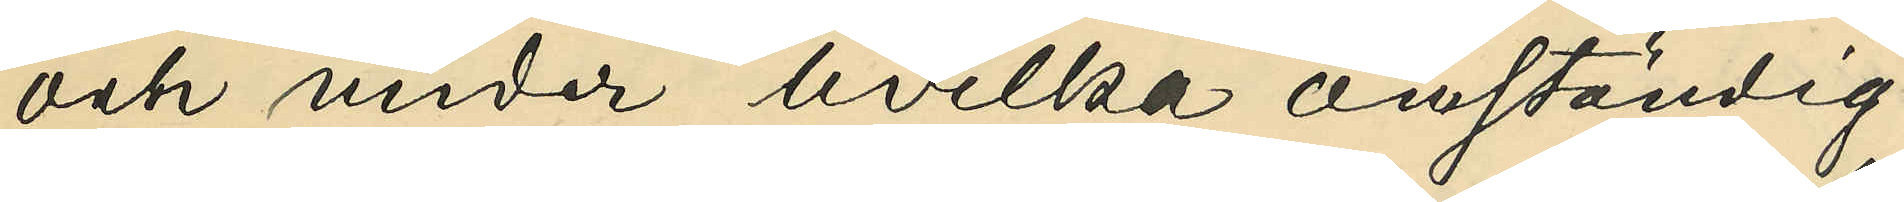och under hvilka omständig¬
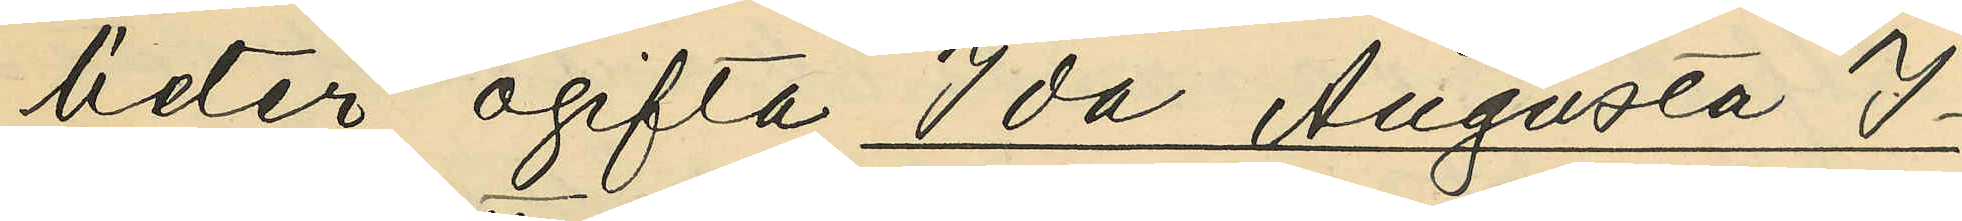heter ogifta Ida Augusta I¬
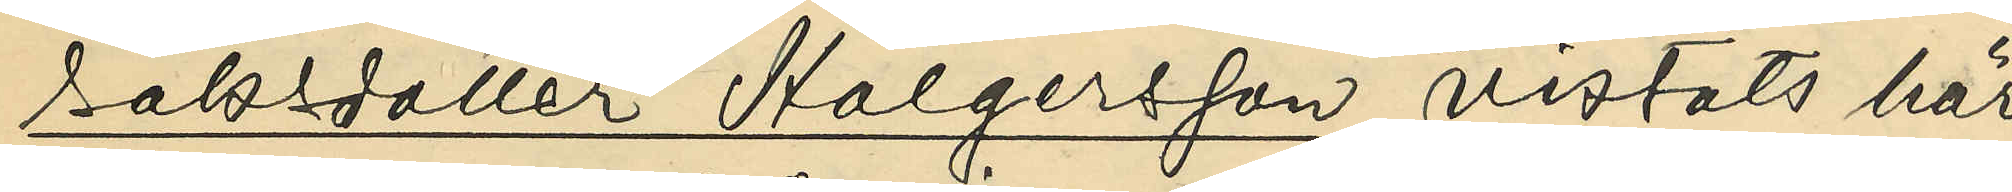saksdotter Holgerson vistats här
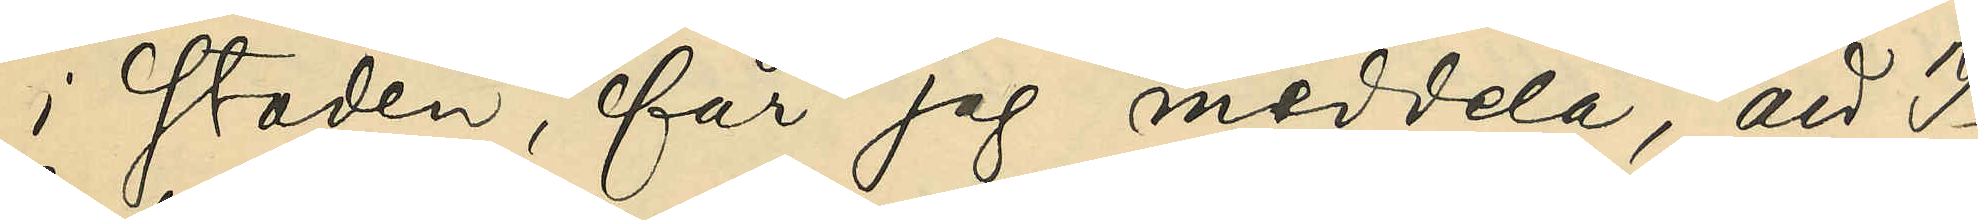i staden, får jag meddela, att I¬
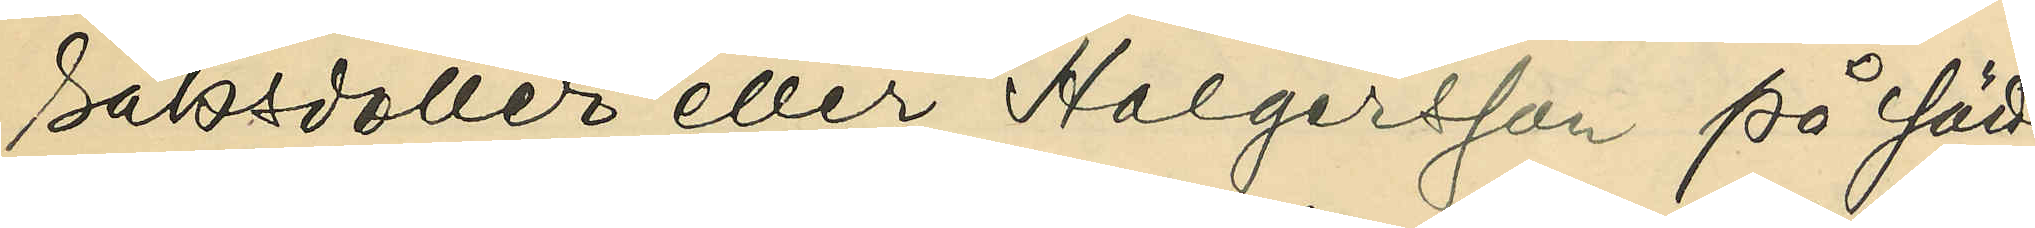saksdotter eller Holgersson på sätt
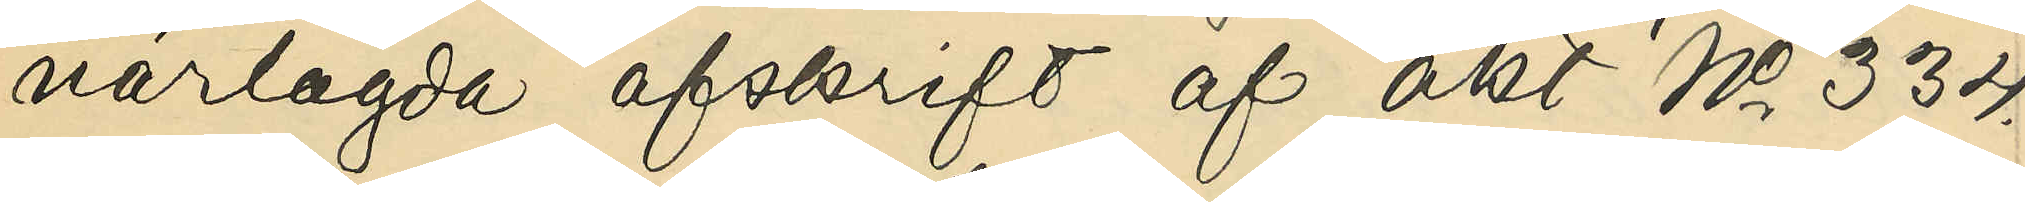närlagda afskrift af akt No 334
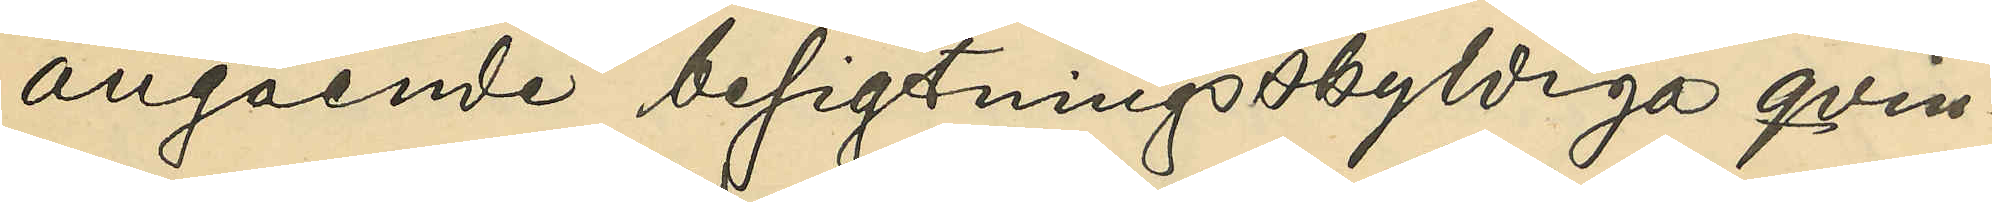angående besigtningsskyldiga qvin¬
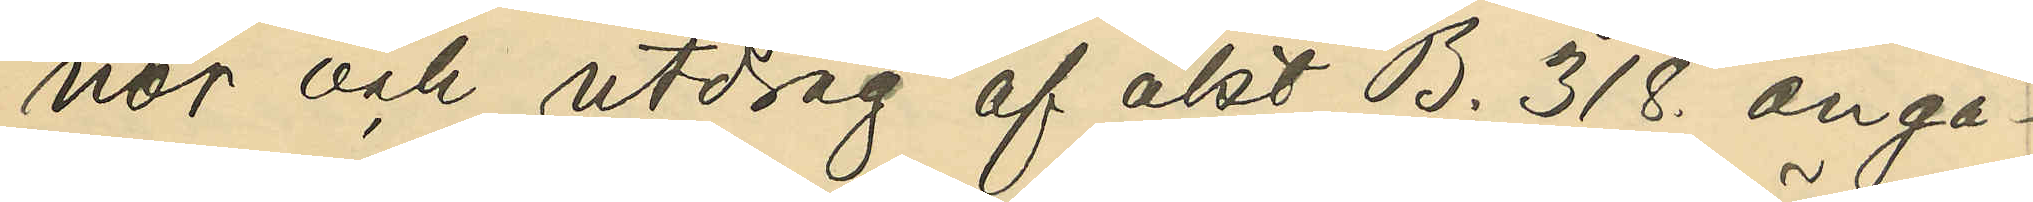nor och utdrag af akt B. 318. angå¬
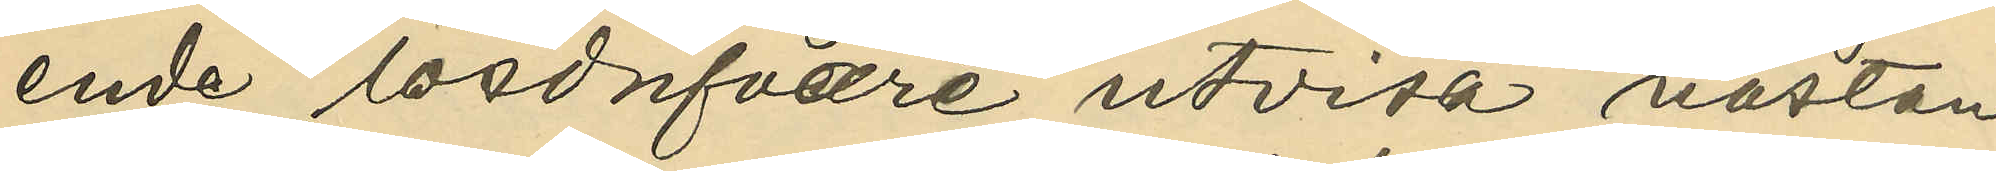ende lösdrifvare utvisa nästan
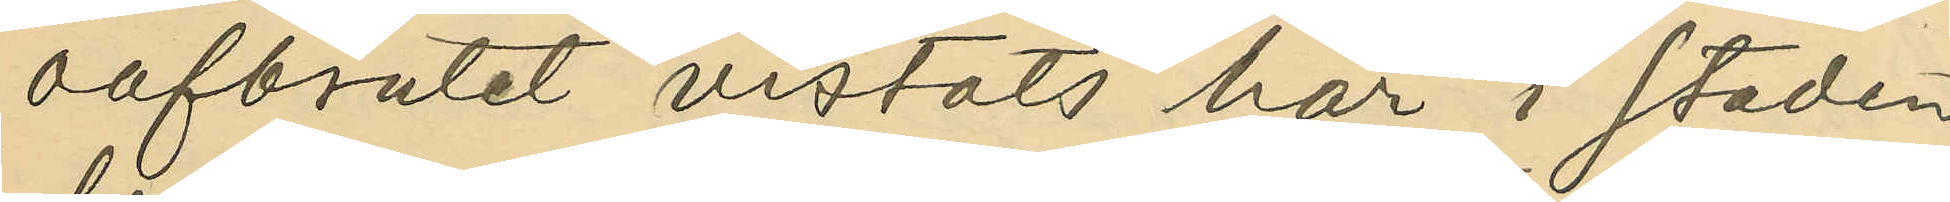oafbrutet vistats här i staden
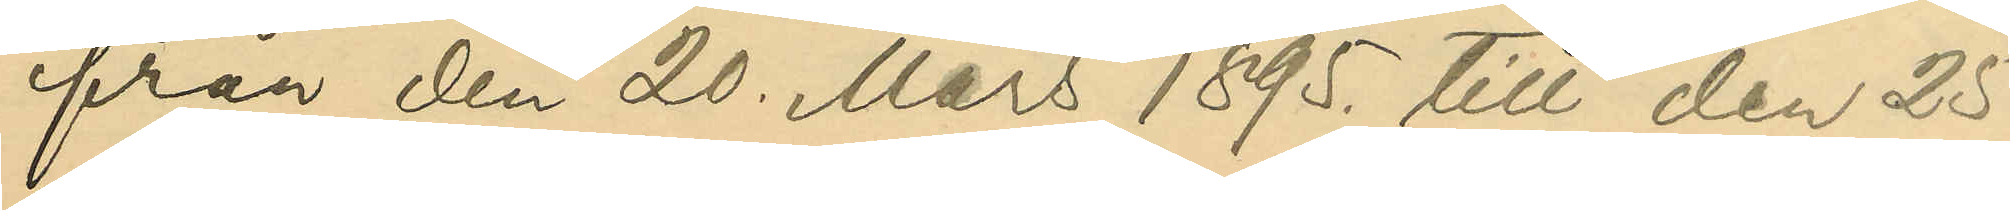från den 20 Mars 1895. till den 25
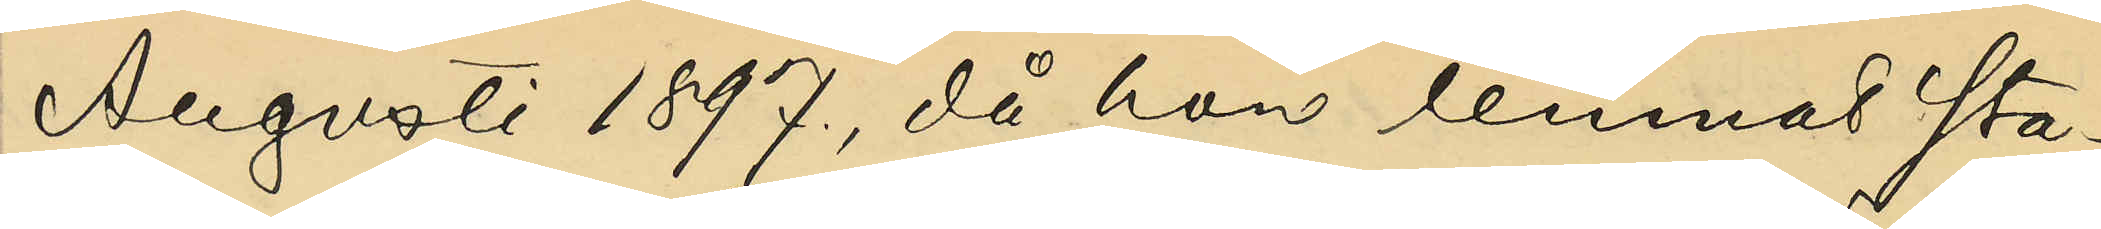Augusti 1897,då hon lemnat sta¬
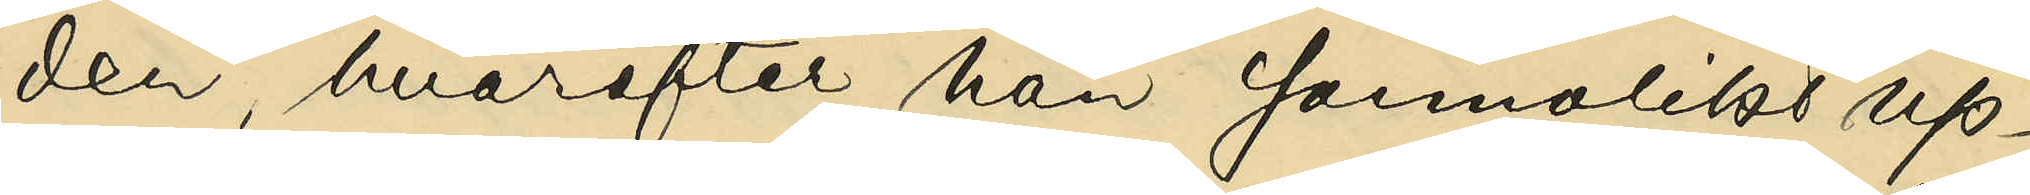den, hvarefter hon sannolikt up¬
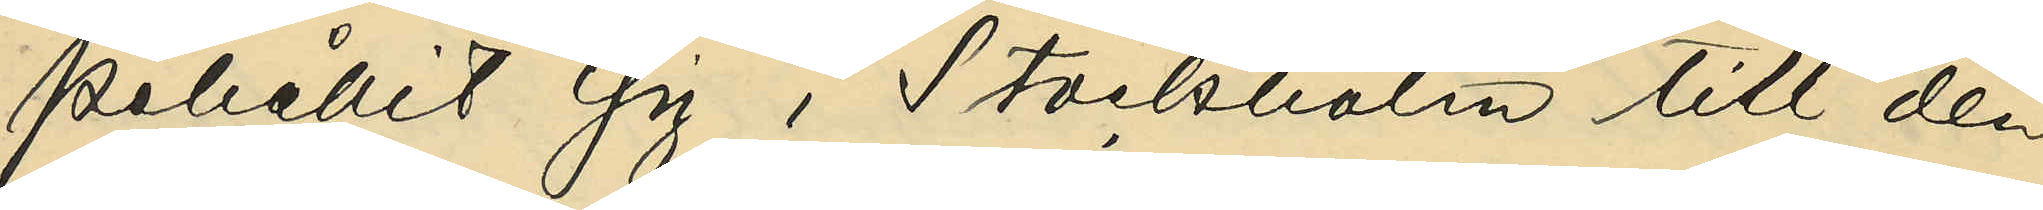pehållit sig i Stockholm till den
